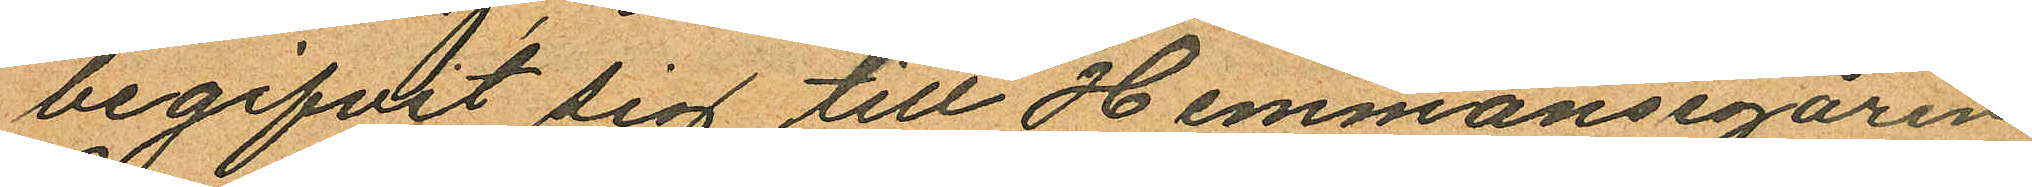begifvit sig till Hemmansegaren
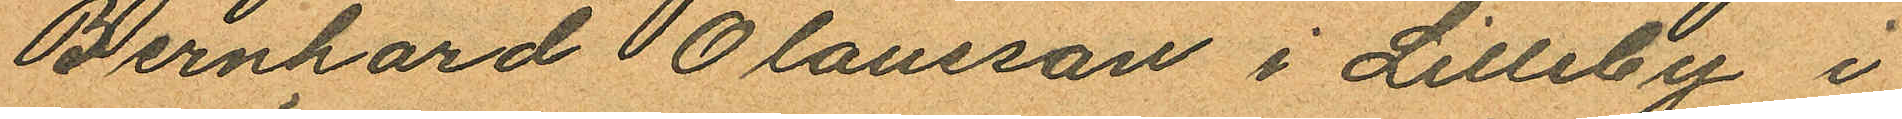Bernhard Olausson i Lilleby i
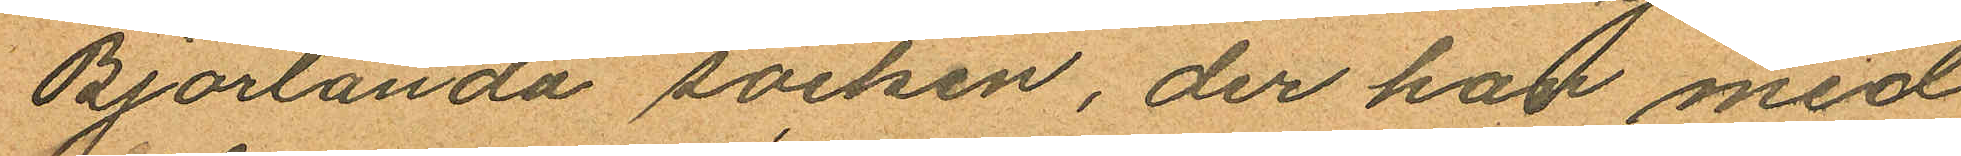Björlanda socken, der han med
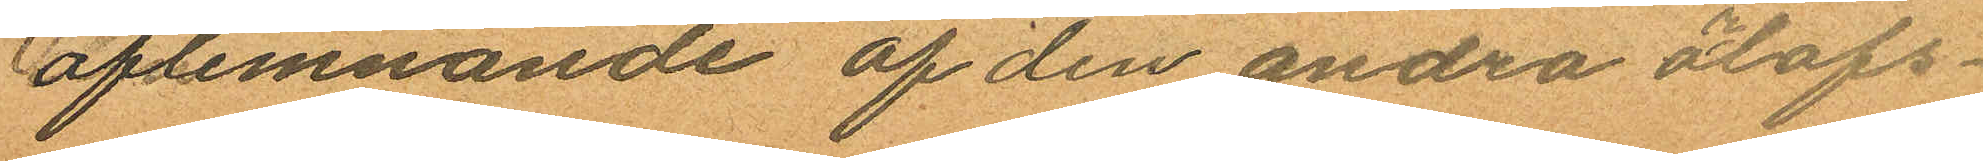aflemnande af den andra orlofs¬
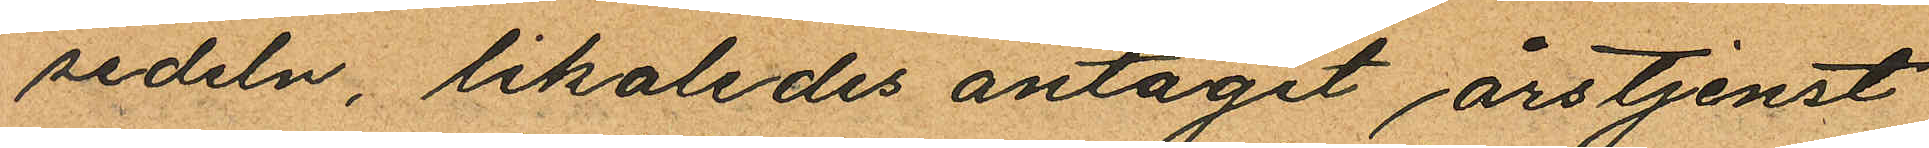sedeln, likaledes antagit årstjenst
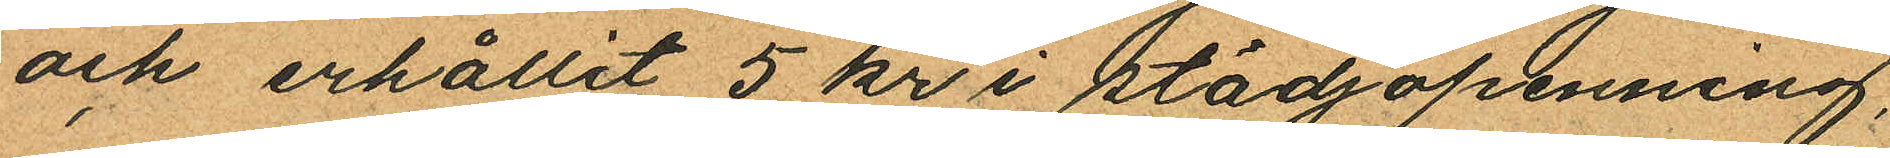och erhållit 5 kr i stödjopenning,
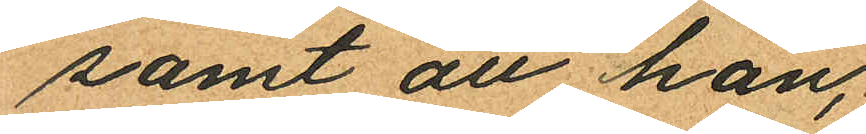samt att han,
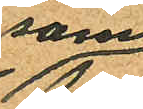som
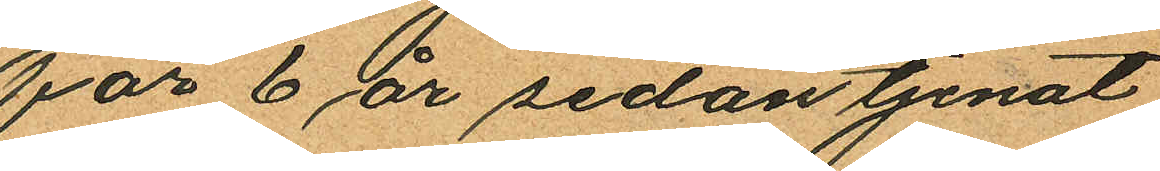för 6 år sedan tjenat
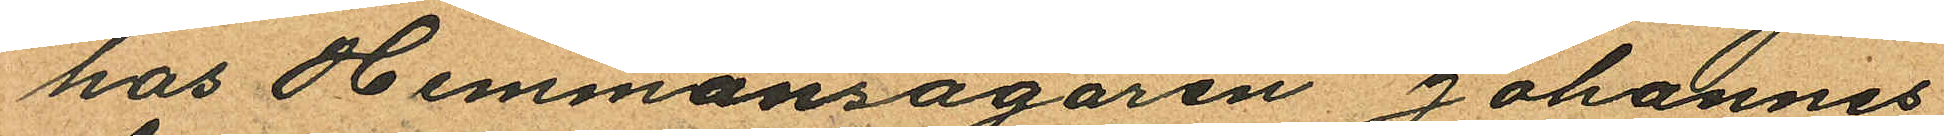hos Hemmansägaren Johannes
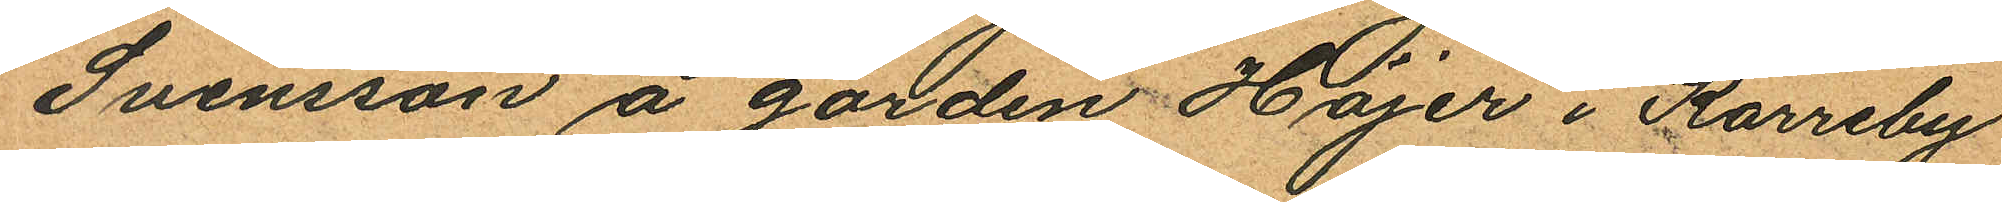Svensson å gården Höjer i Karreby
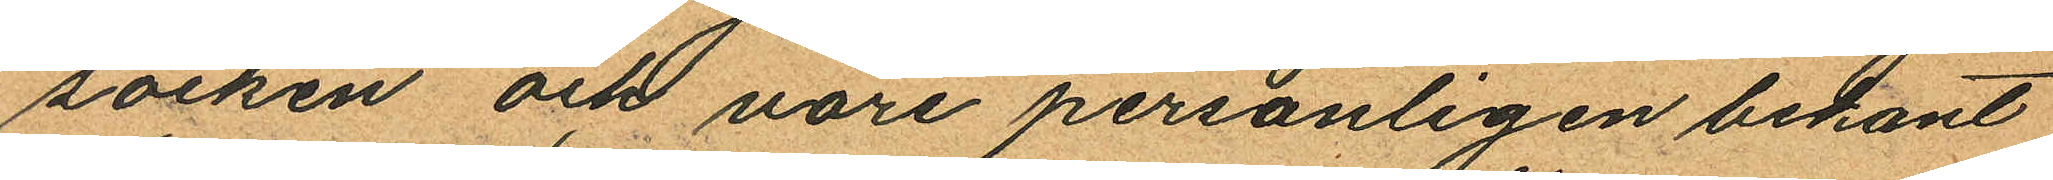socken och vore personligen bekant
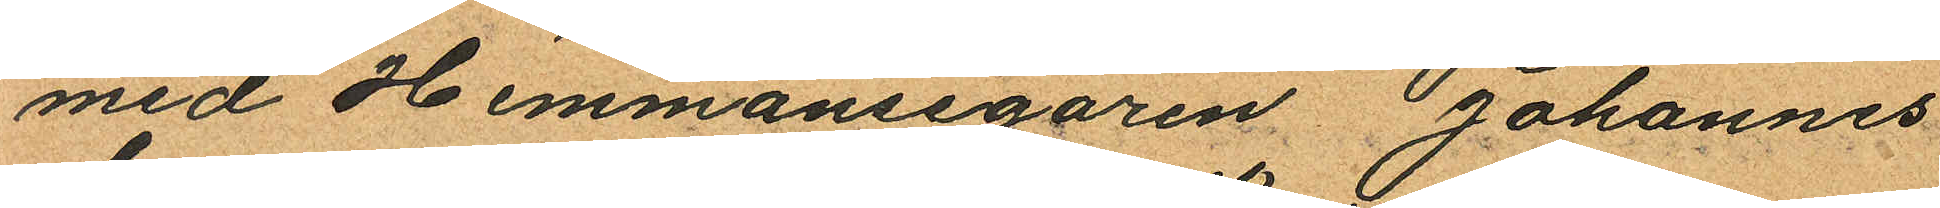med Hemmansegaren Johannes
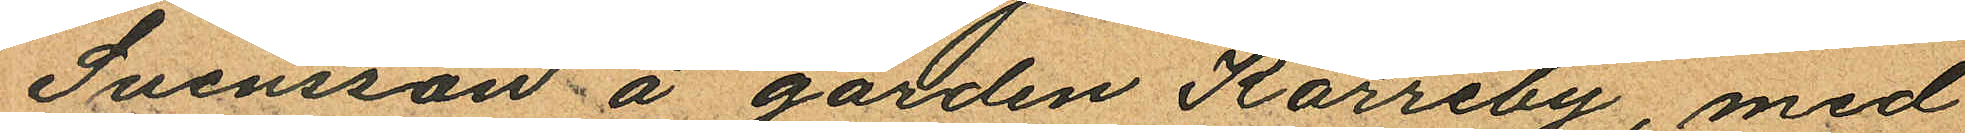Svensson å gården Karreby, med
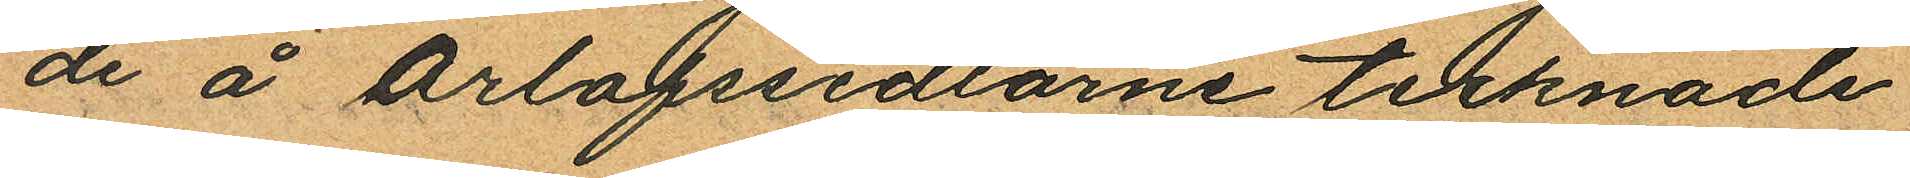de å orlofssedlarne tecknade
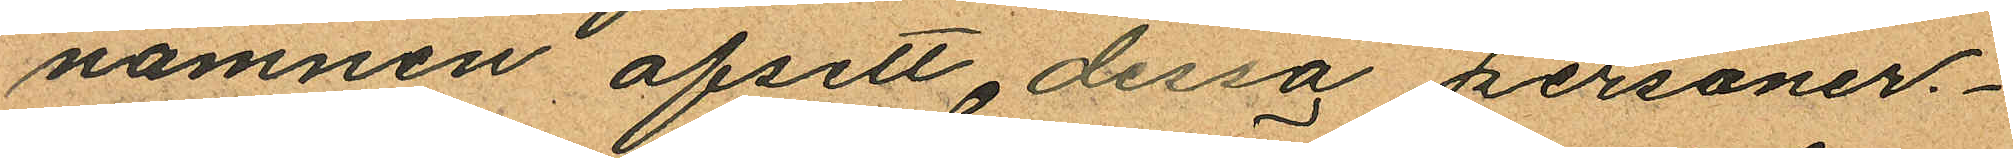namnen afsett dessa personer.
